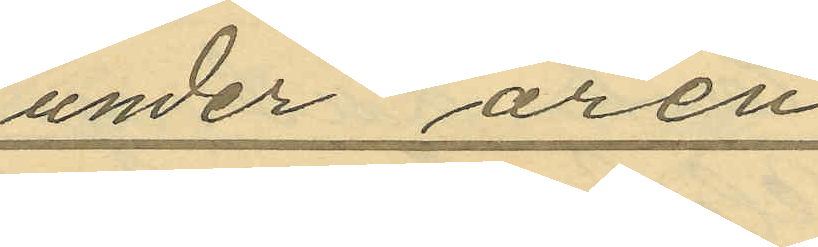under åren
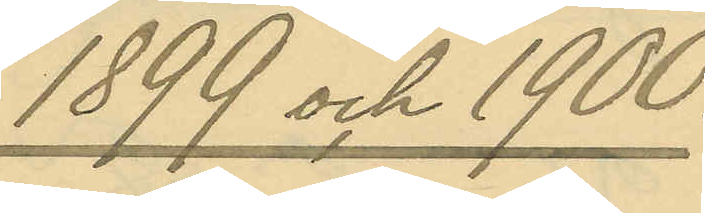1899 och 1900.
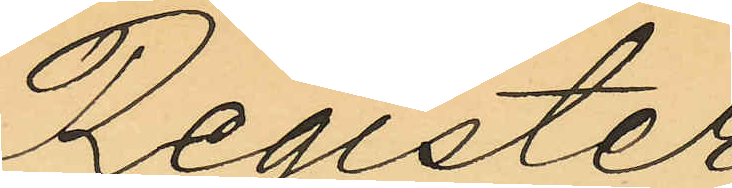Register
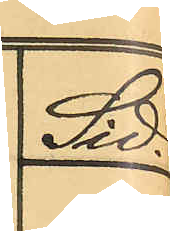Sid.
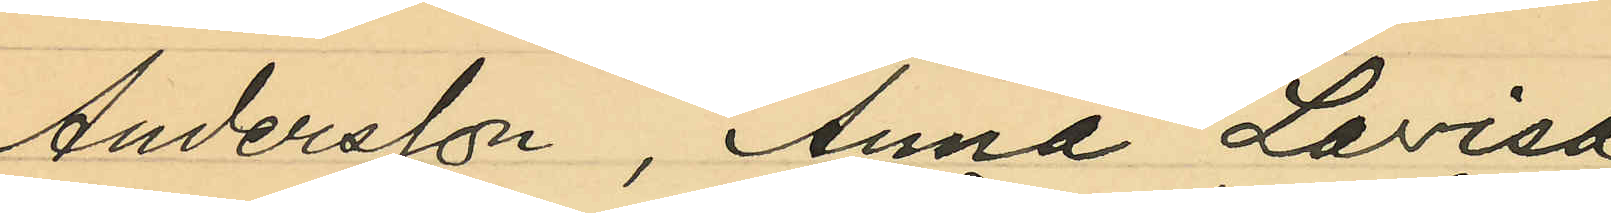Andersson, Anna Lovisa
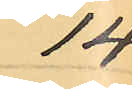14
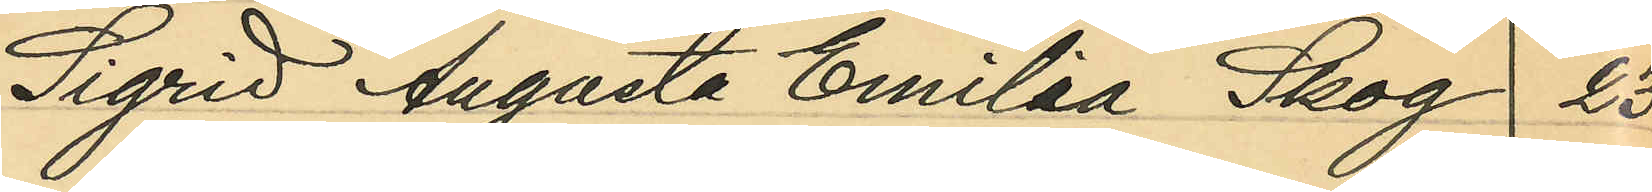Sigrid Augusta Emilia Skog 23
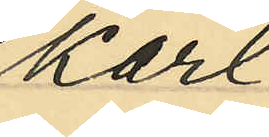Karl
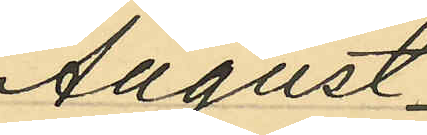August
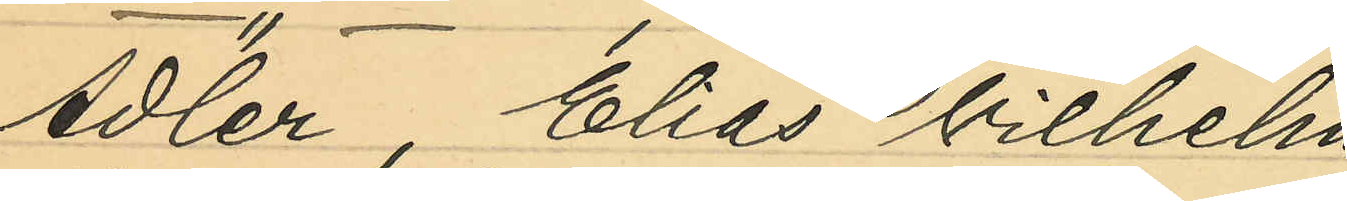Adler, Elias Vilhelm
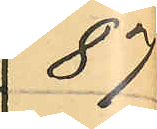87
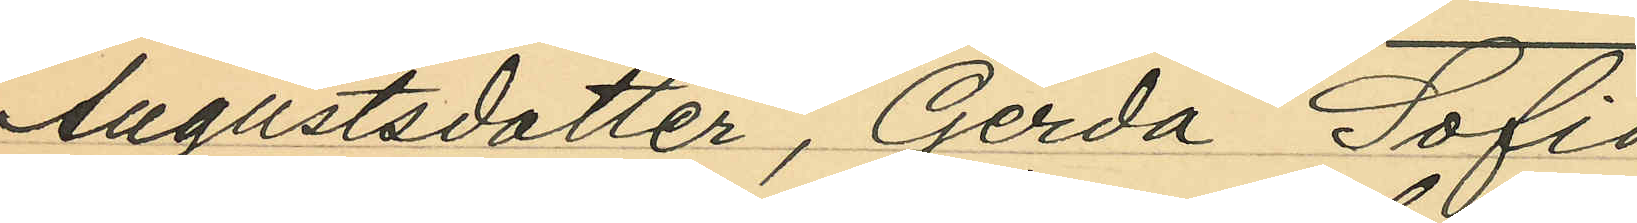Augustsdotter, Gerda Sofia
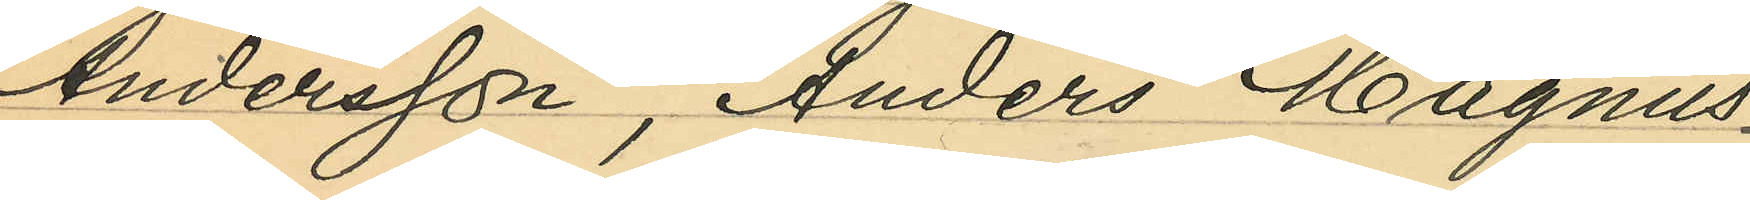Andersson, Anders Magnus
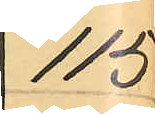115
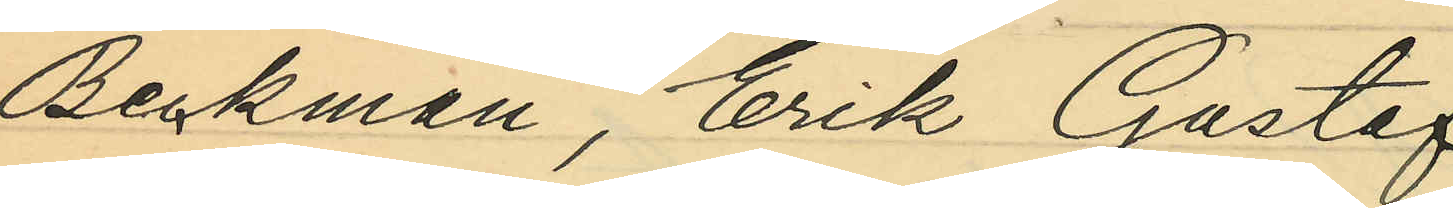Beckman, Erik Gustaf
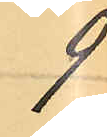9
